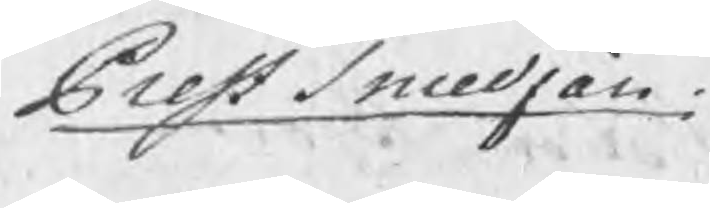Prestsmedjan
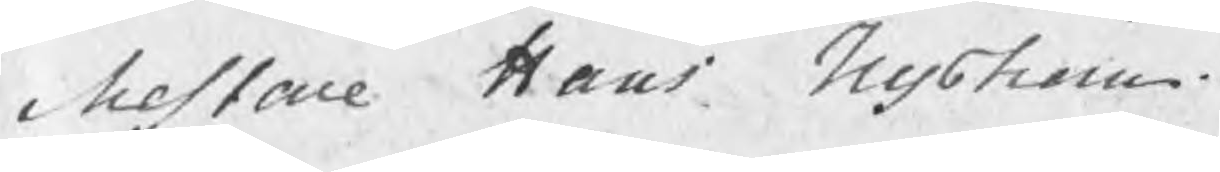Mestare Hans Nyström
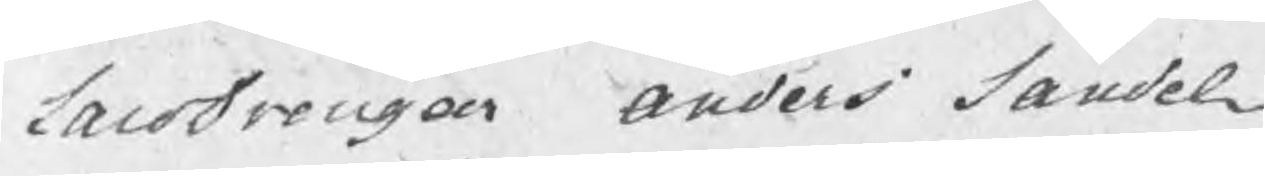LaroDrengar Anders Sandel
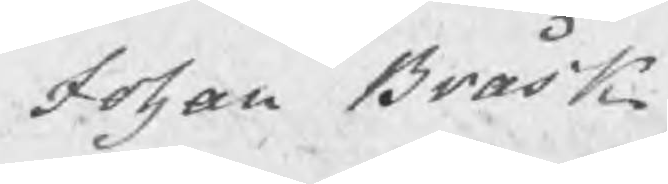Johan Bråsk
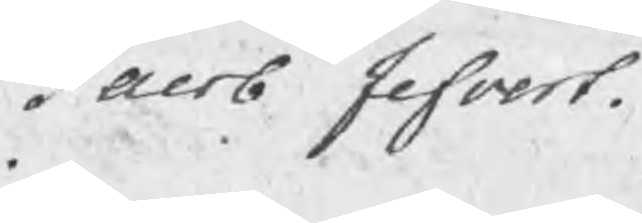Jacob Jefvert.
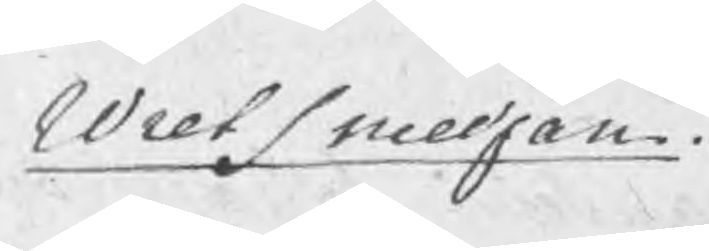Wretsmedjan
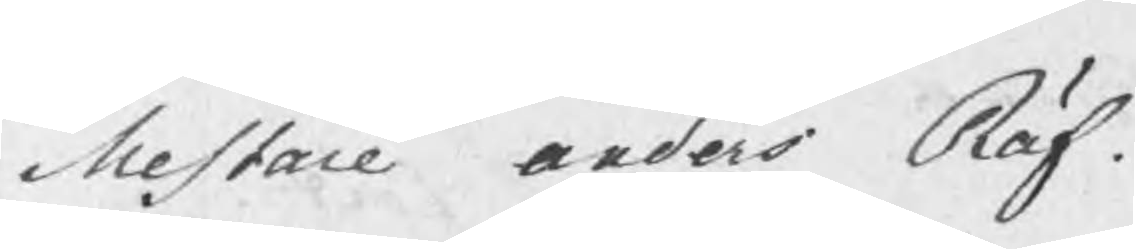Mestare Anders Räf.
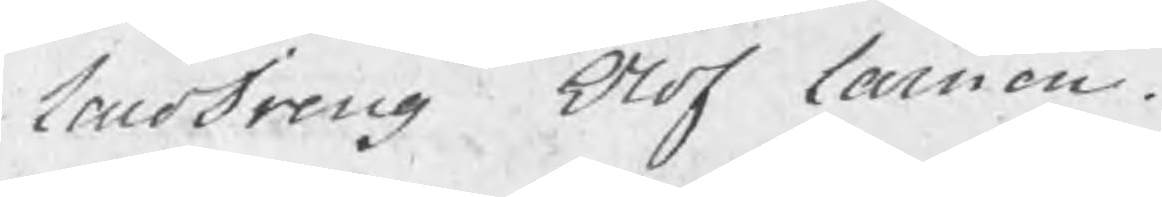LaroDreng Olof Larsson.
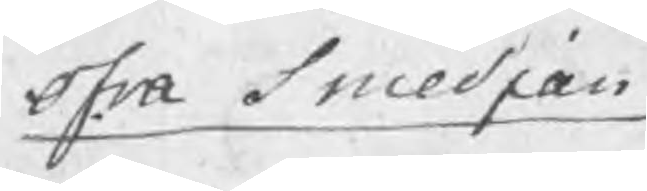ofra smedjan
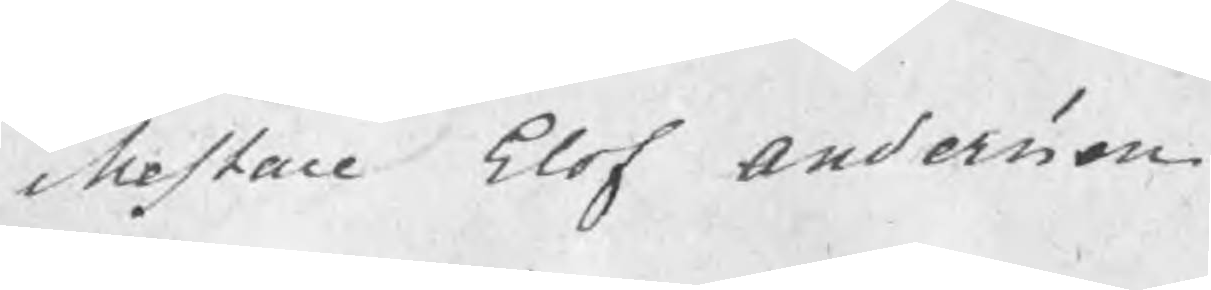Mestare Elof Andersson.
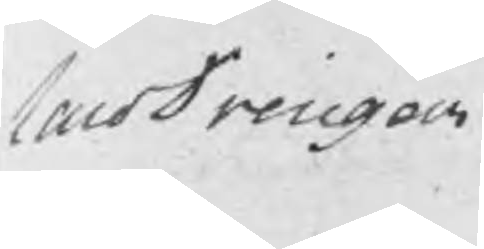LaroDrengar
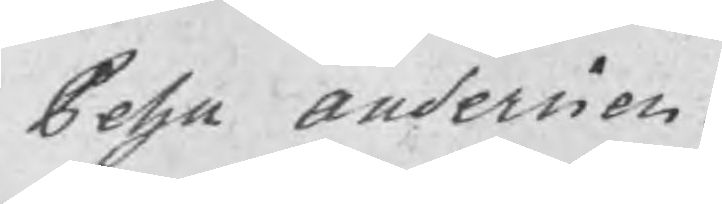Pehr Andersson.
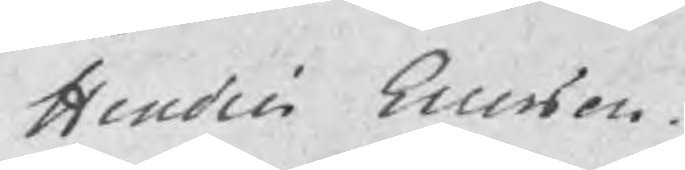Hindric Ericsson
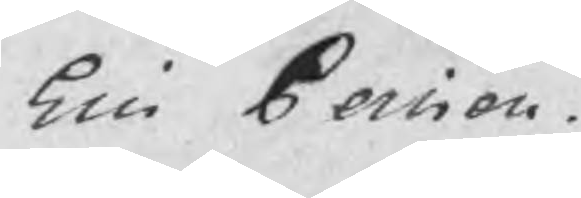Eric Persson.
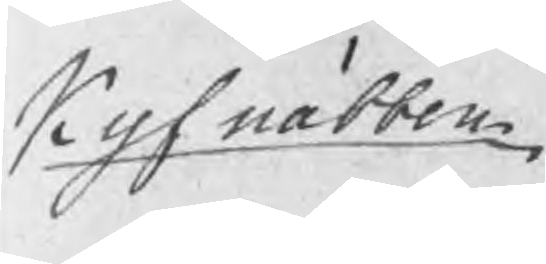Kyfnäbben
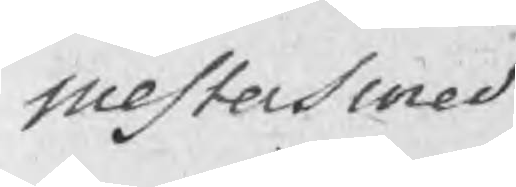mestersmed
